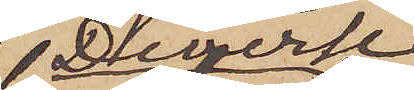Diverse
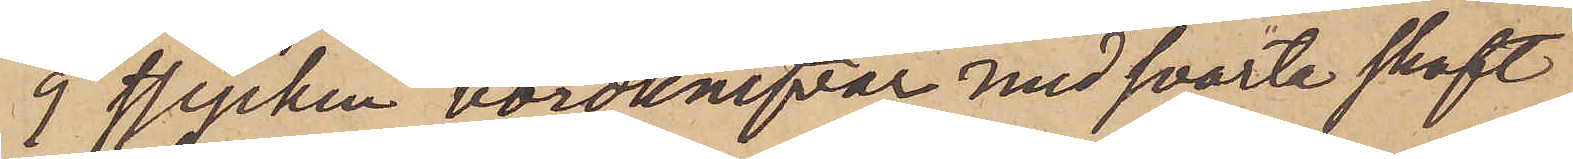9 stycken bordknifvar med svarta skaft
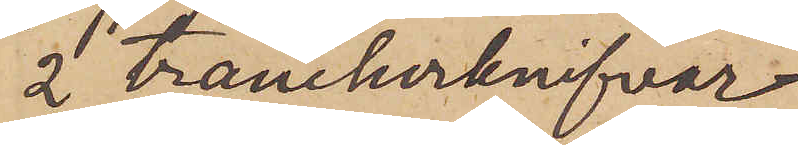2 tranchorknifvar
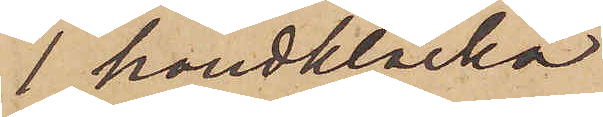1 handklocka
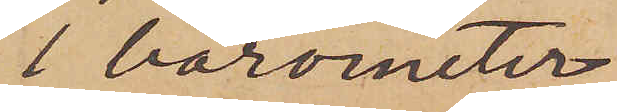1 barometer
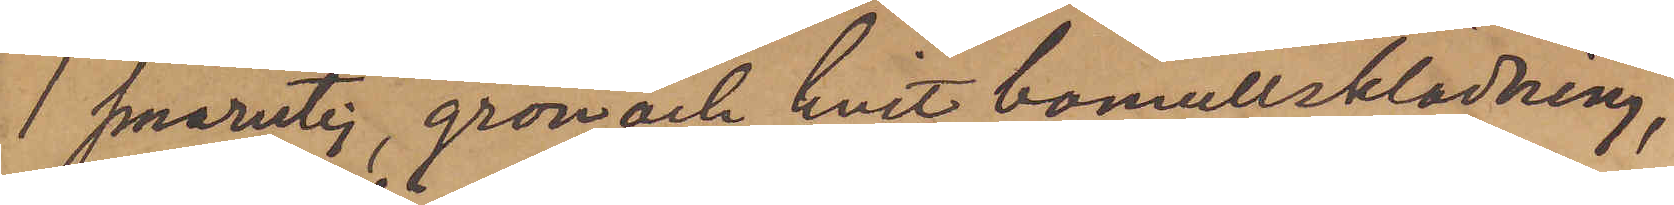1 smårutig, grön och hvit bomullsklädning,
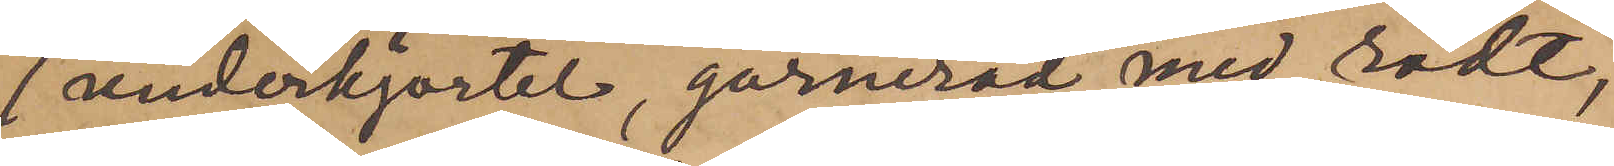1 underkjortel, garnerad med rödt,
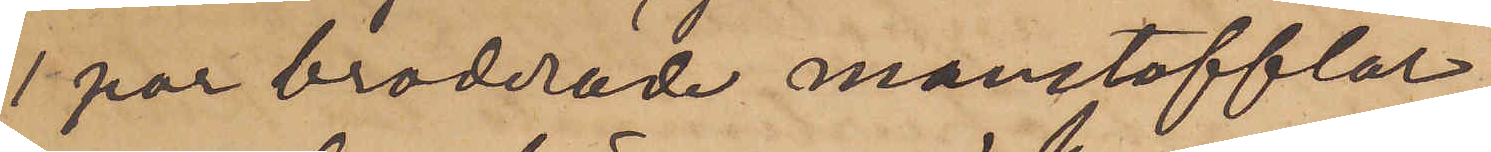1 par broderade manstofflor,
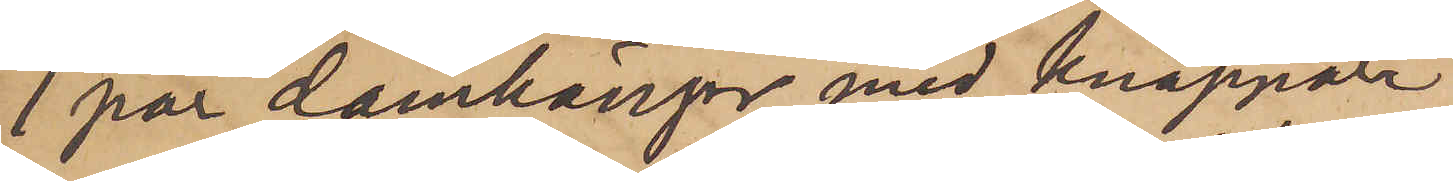1 par damkängor med knappar,
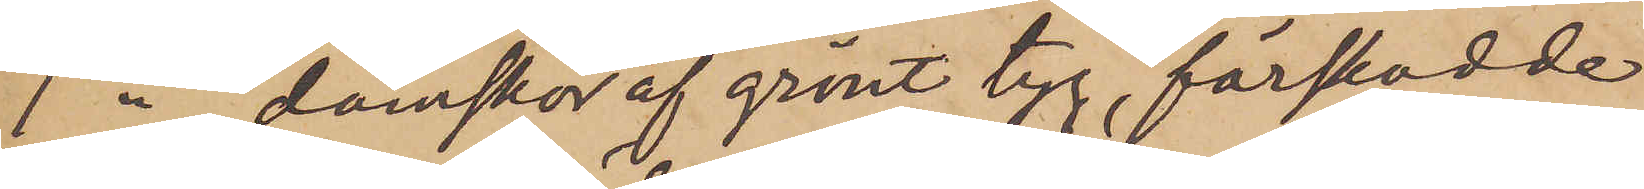1 " damskor af grönt tyg, förskodde
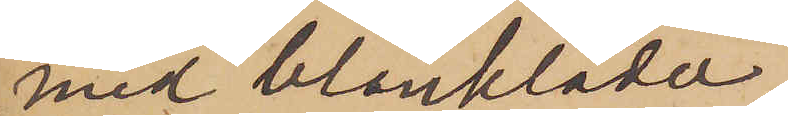med blankläder,
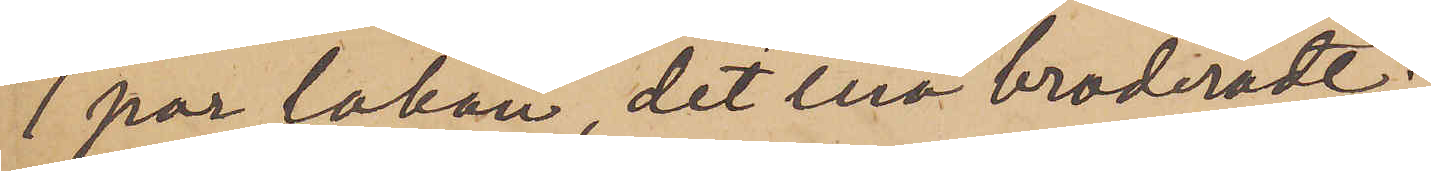1 par lakan, det ena broderadt;
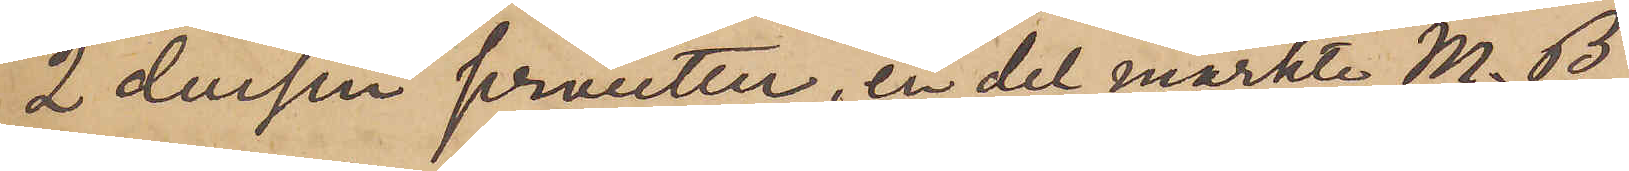2 dussin servietter, en del märkte M.B.
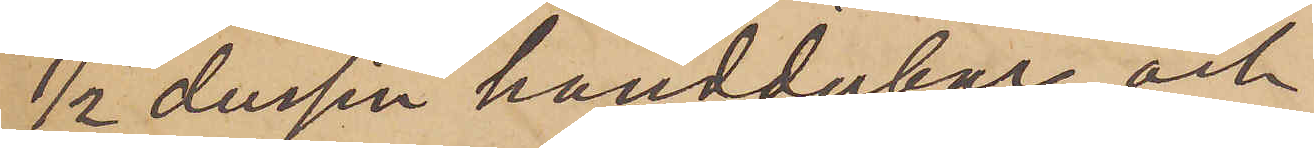½ dussin handdukar och
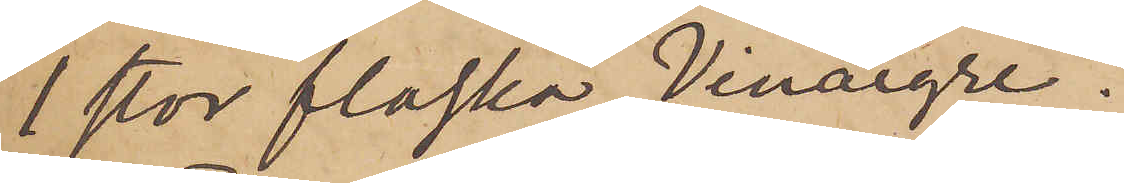1 stor flaska "Vinaigre".
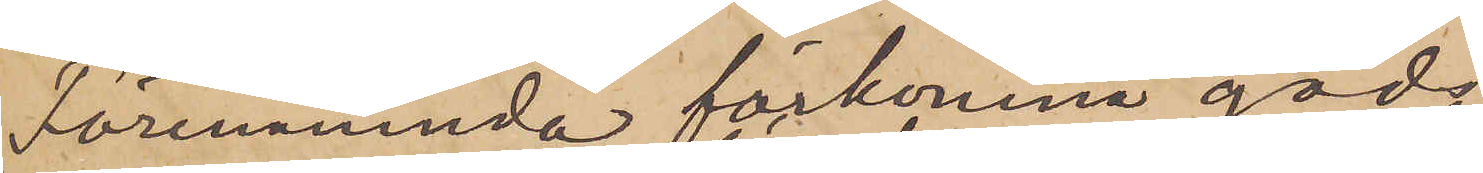Förenämnda förkomne gods
